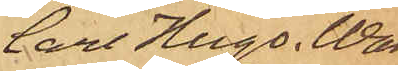Carl Hugo. Wal¬
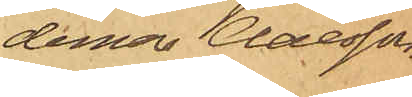demar Claesson.
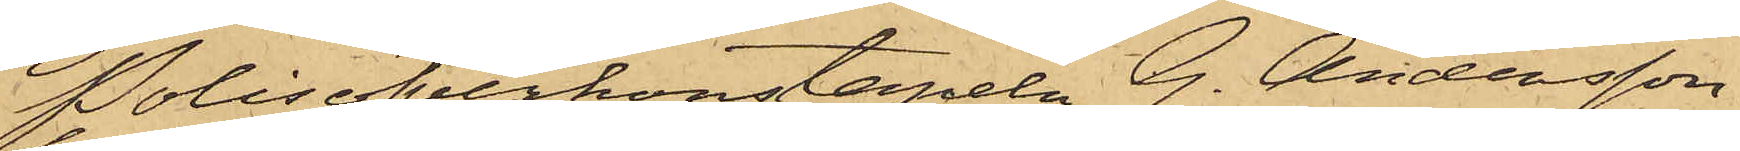Polisöfverkonstapeln G. Andersson
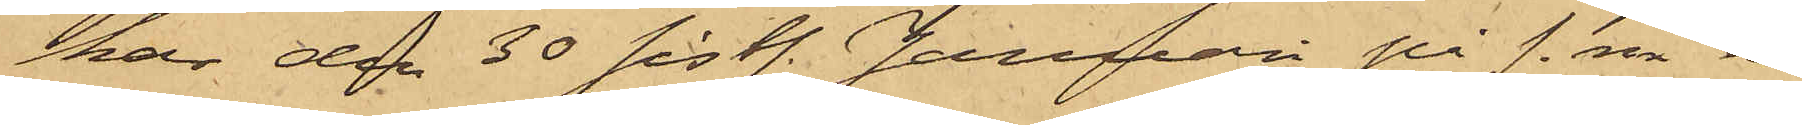har den 30 sistl. Januari på f.m. å
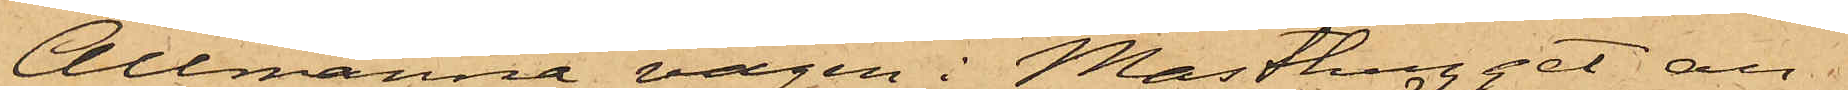Allmänna vägen i Masthugget an¬
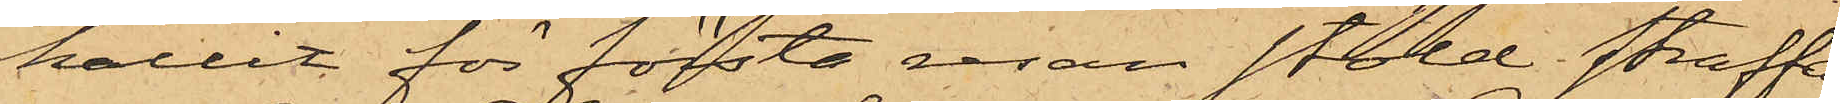hållit för första resan stöld straffa¬
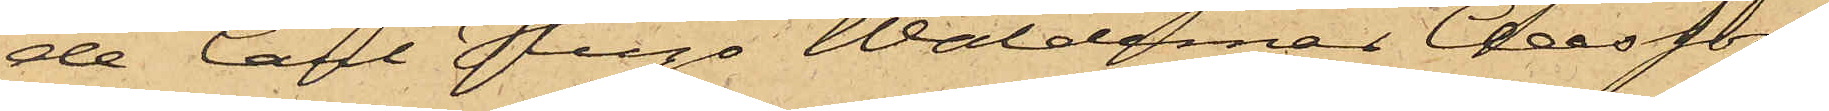de Carl Hugo Waldemar Claesson
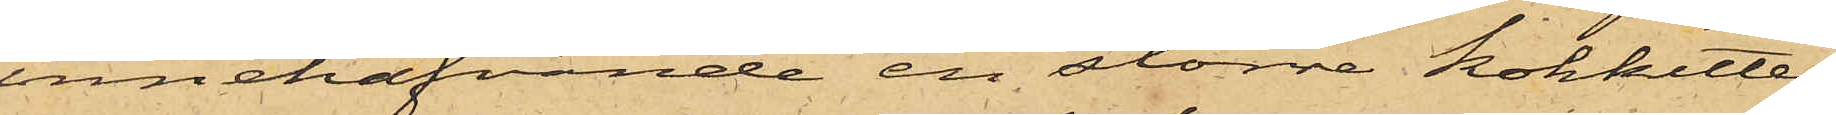innehafvande en större kokkittel
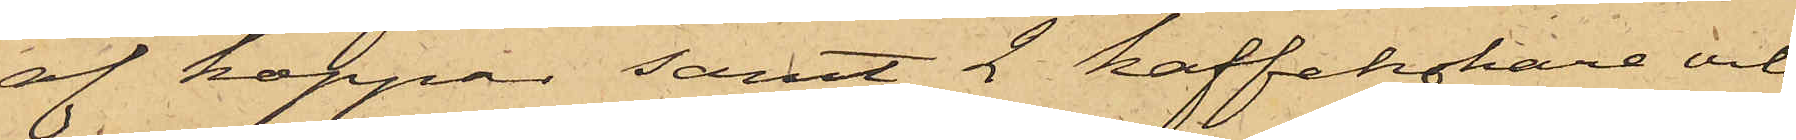af koppar samt 2 kaffekokare och
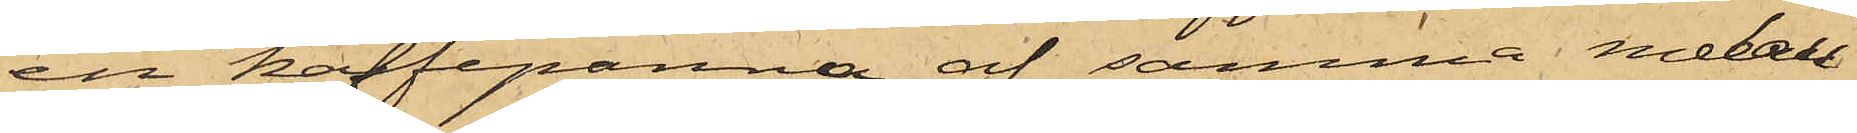en kaffepanna af samma metall
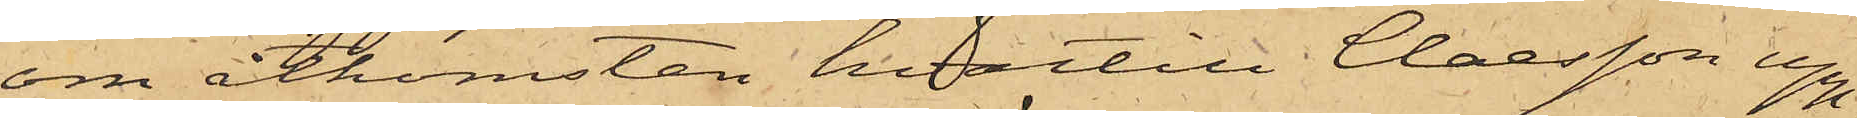om åtkomsten hvartill Claesson upp¬
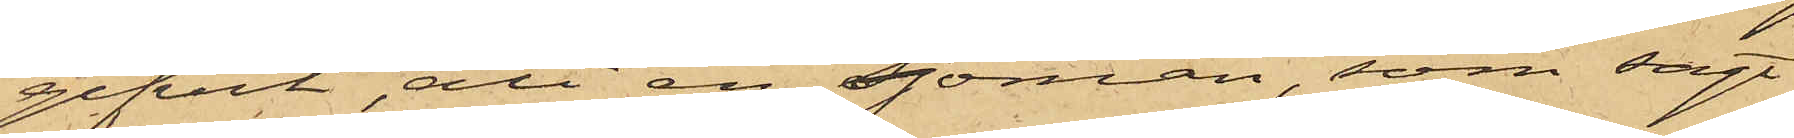gifvit, att en Sjöman, som sagt
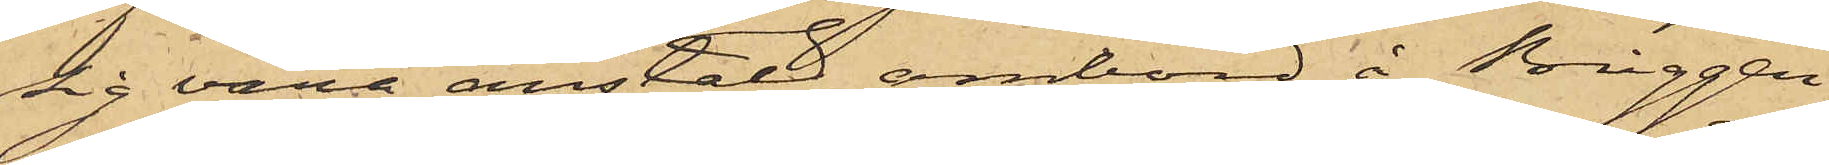sig vara anstäld ombord å Briggen
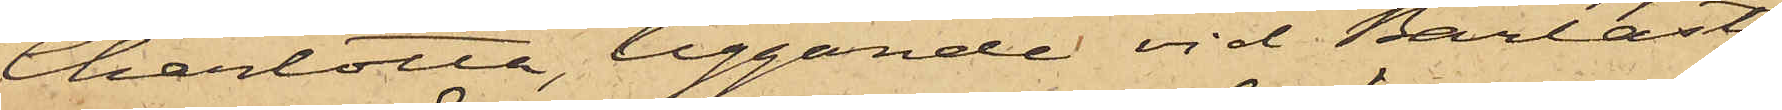Charlotta, liggande vid Barlast¬
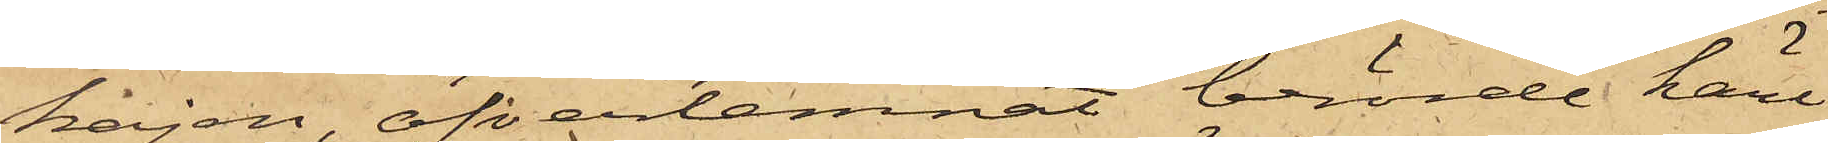kajen, öfverlemnat berörde kärl
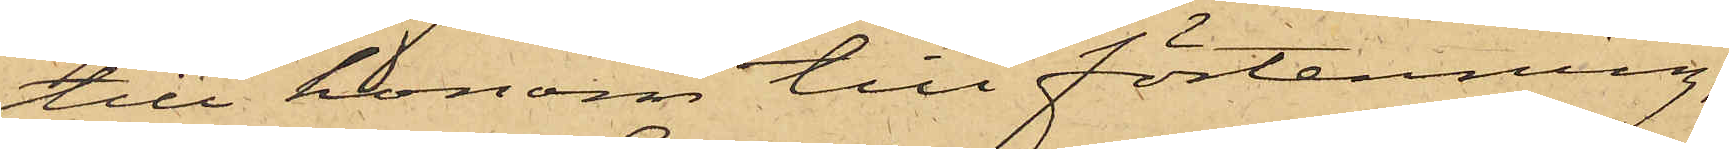till honom till förtenning,
